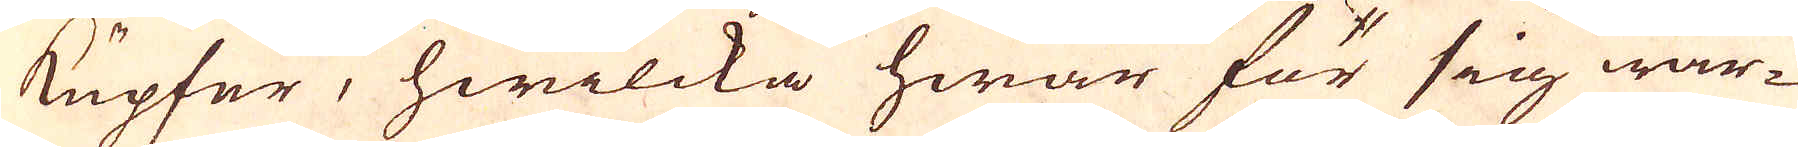Kupfer, hwilcka hwar för sig war-
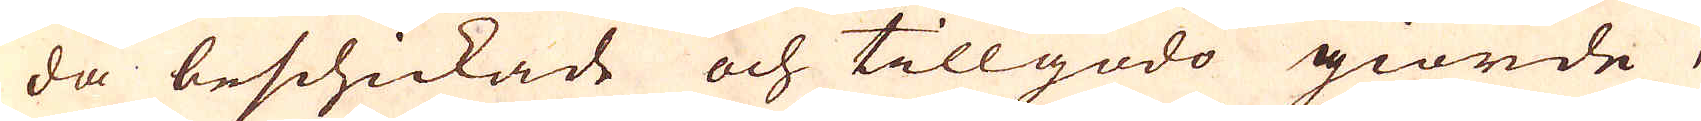da beschickade och tillgodo giorde,
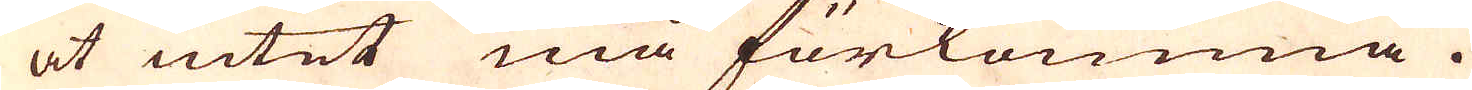at intet må förkomma.
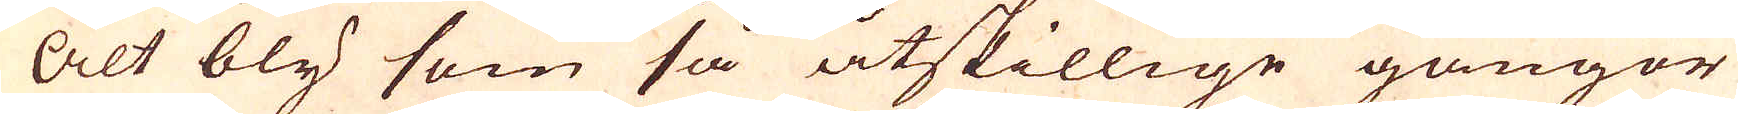Alt bly som så åtskillige gångor
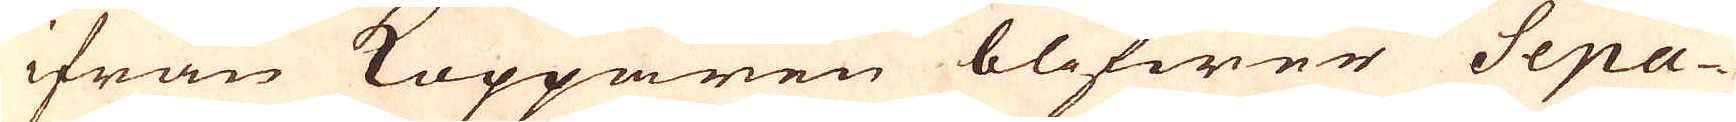ifrån Kopparen blifwer Sepa-
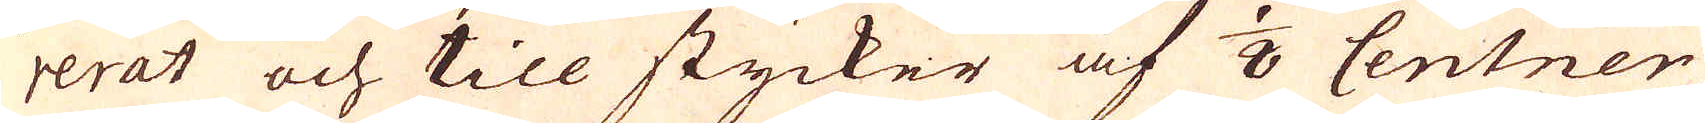rerat och till stycker af 1/8 Centner
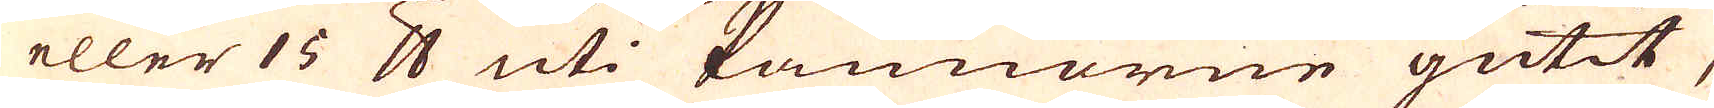eller 15 skålpund uti kannorne gutit,
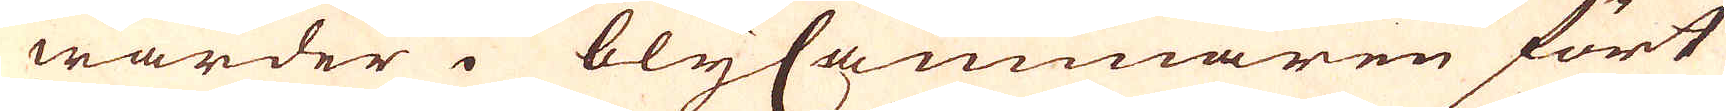warder i blyCammaren fört
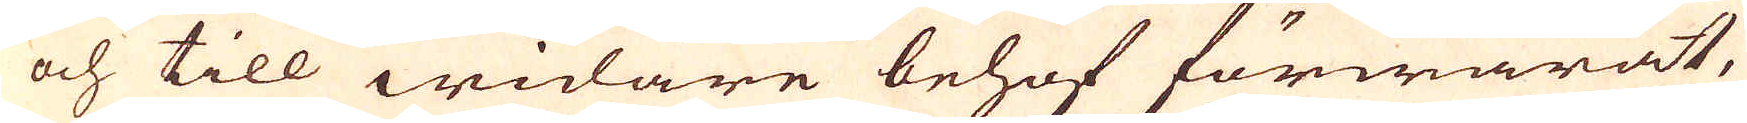och till widare behof förwarat,
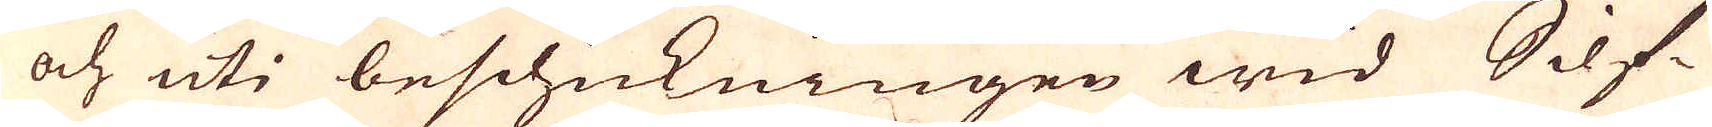och uti beschickningen wid Silf-
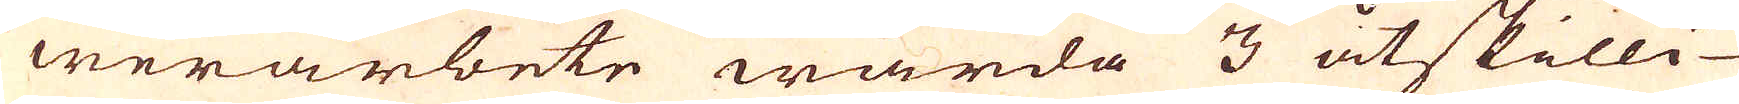werarbete warda 3 åtskilli-
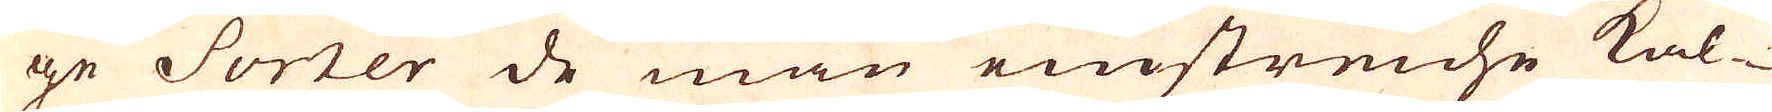ge Sorker de man einostreiche kal-
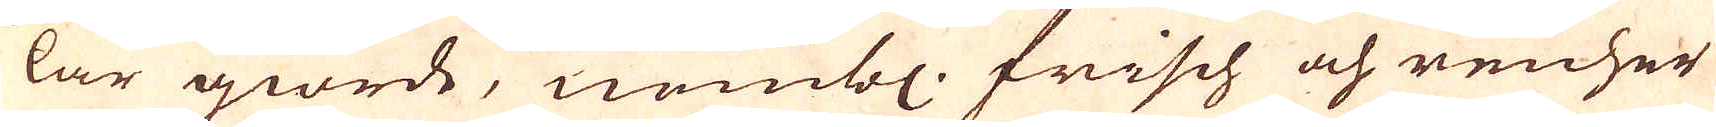lar giorde, nembl. Frisch och reicher
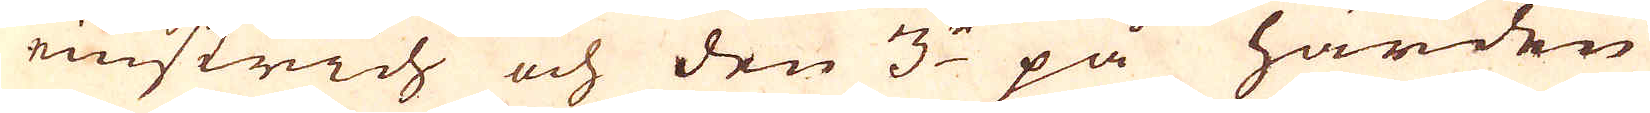einstrich och den 3:e på härden
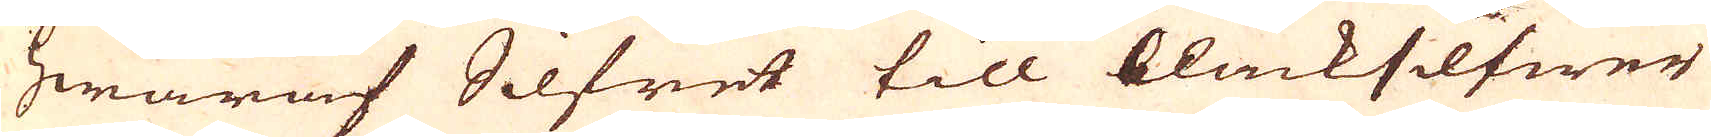hwaraf Silfret till bläcksilfwer
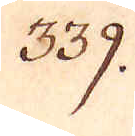339.
